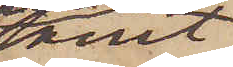samt
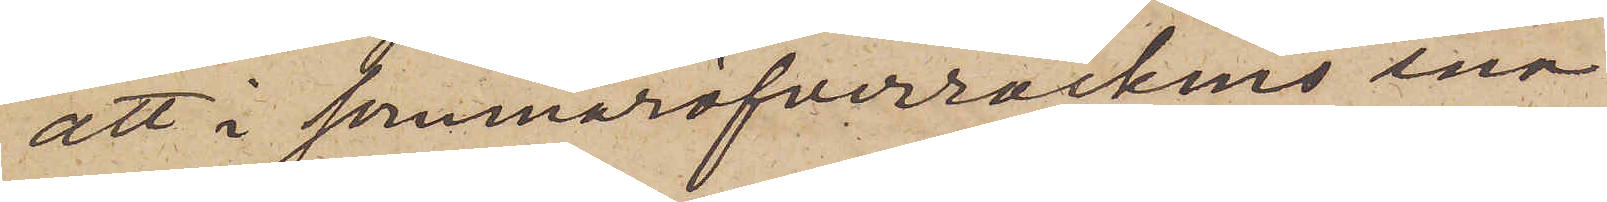att i sommaröfverrockens ena
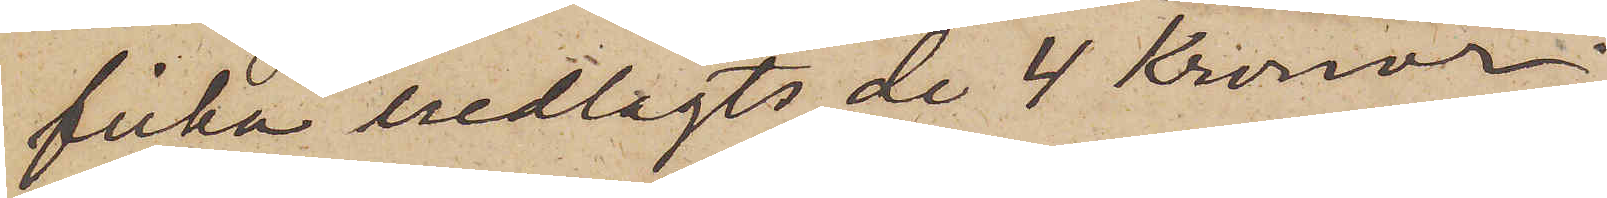ficka nedlagts de 4 Kronor,
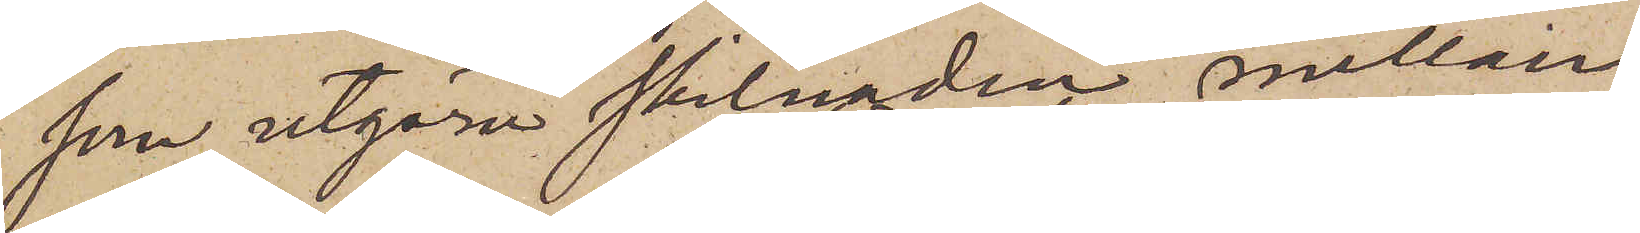som utgöra skilnaden mellan
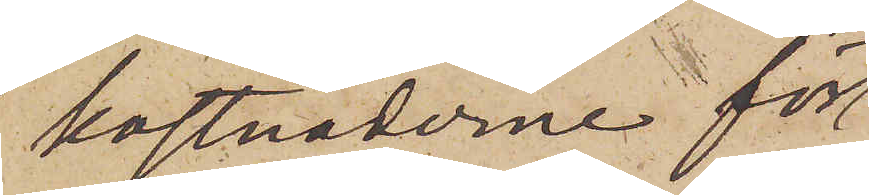kostnaderne för
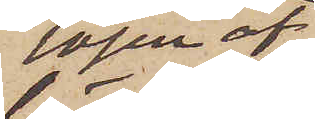lösen af
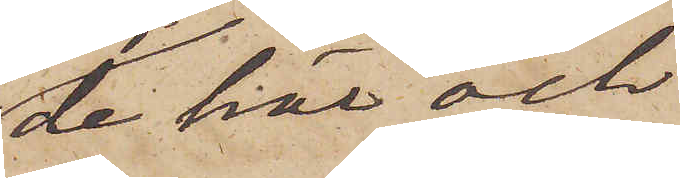de här och
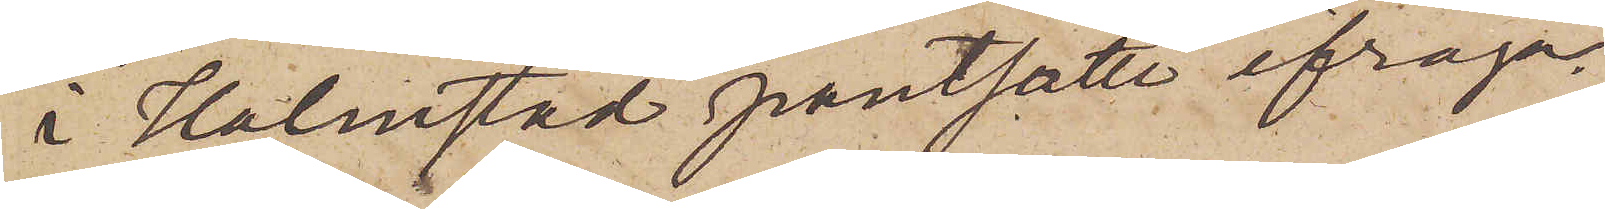i Halmstad pantsatte ifråga¬
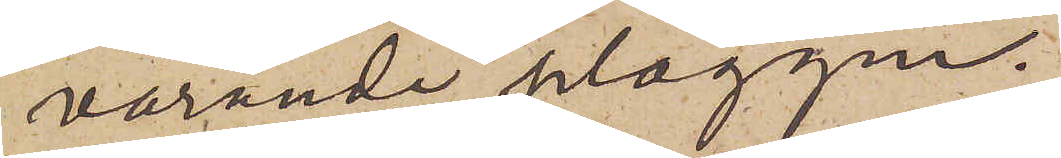varande plaggen.
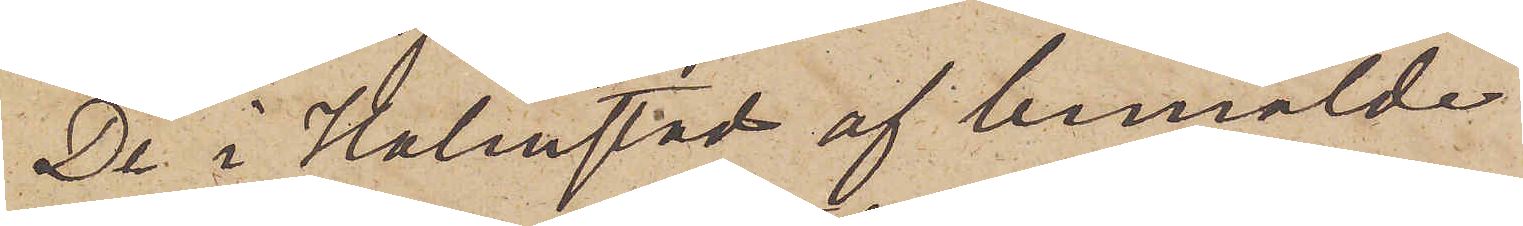De i Halmstad af bemälde
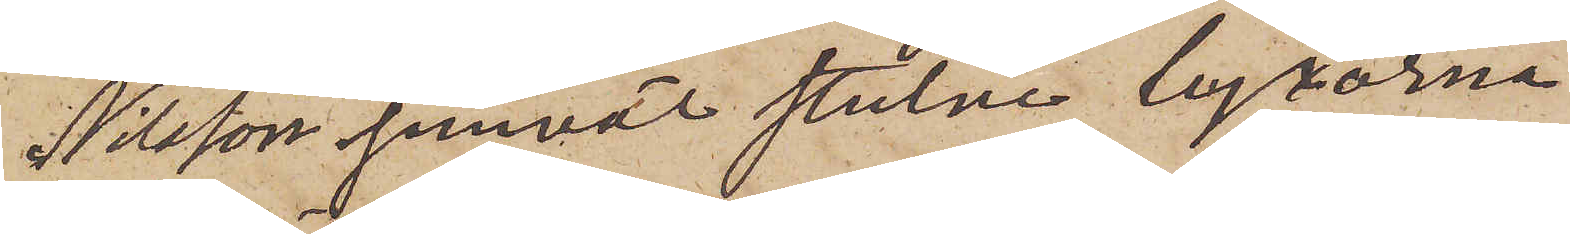Nilsson jemväl stulne byxorna
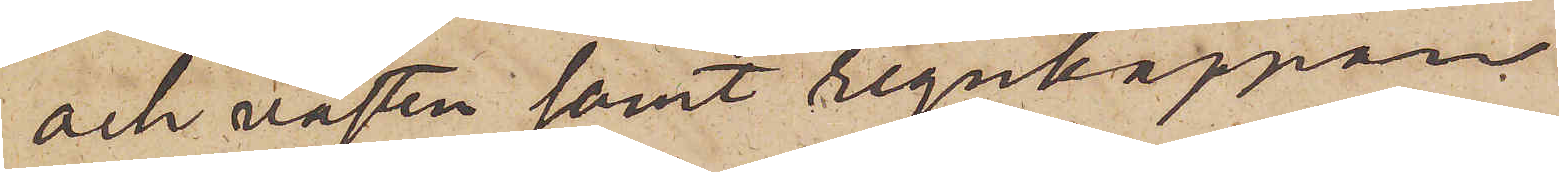och västen samt regnkappan
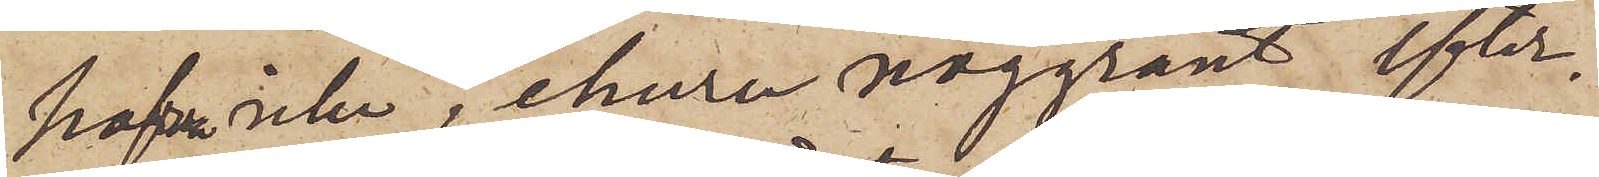hafva icke, ehuru noggrant efter¬
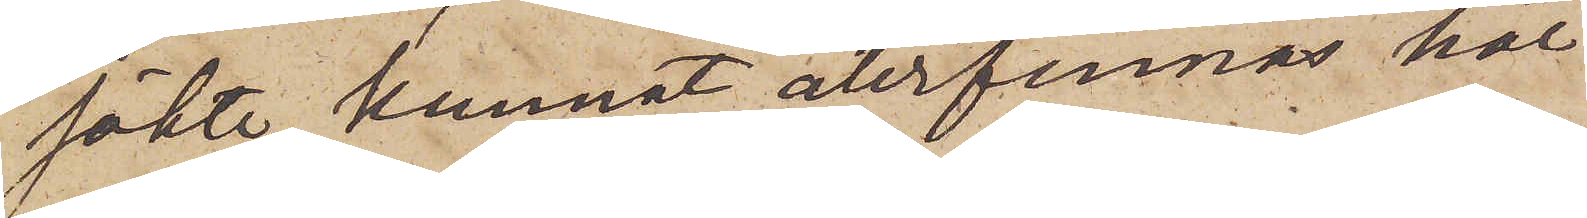sökte, kunnat återfinnas här
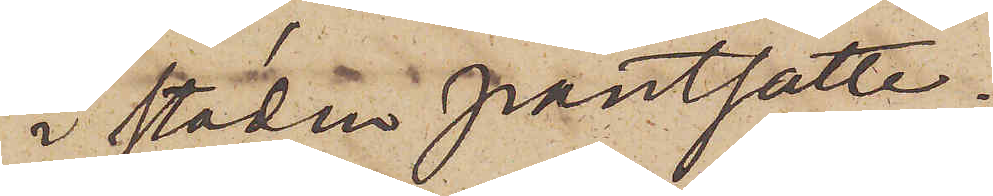i staden pantsatte.
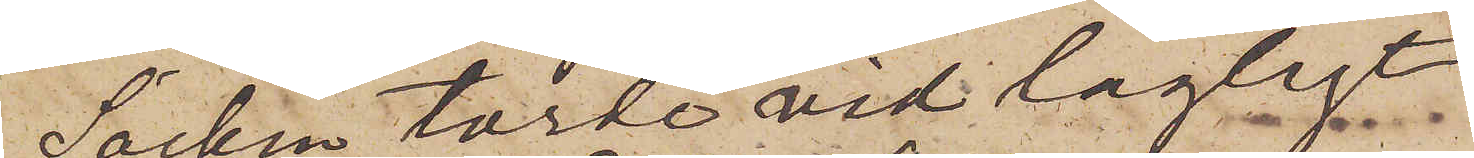Säcken torde vid lägligt
